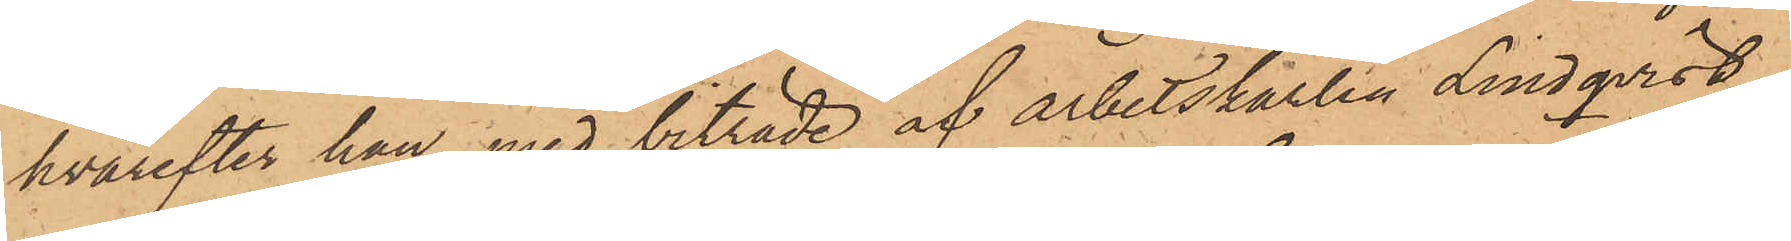hvarefter han med biträde af arbetskarlen Lindqvist,
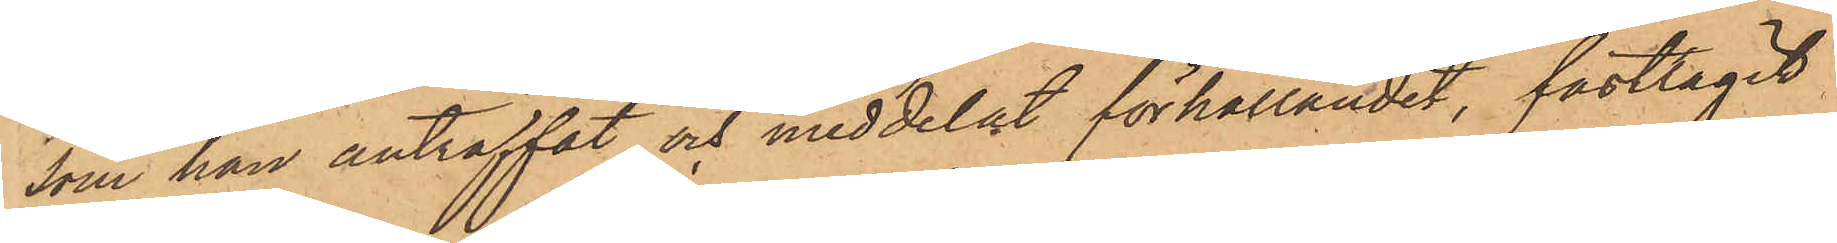som han anträffat och meddelat förhållandet, fasttagit
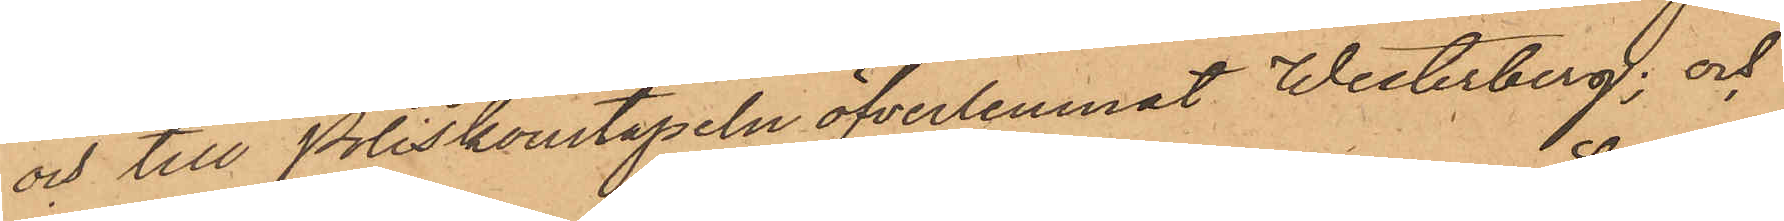och till Poliskonstapeln öfverlemnat Westerberg; och
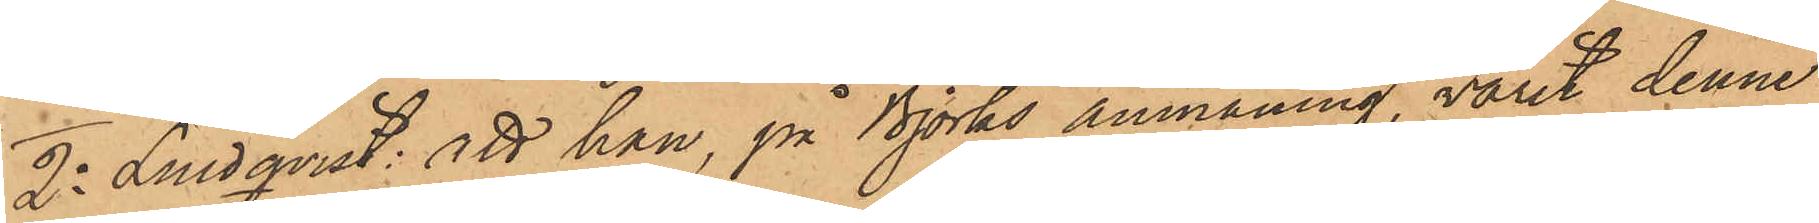2o Lindqvist: att han, på Björks anmaning, varit denne
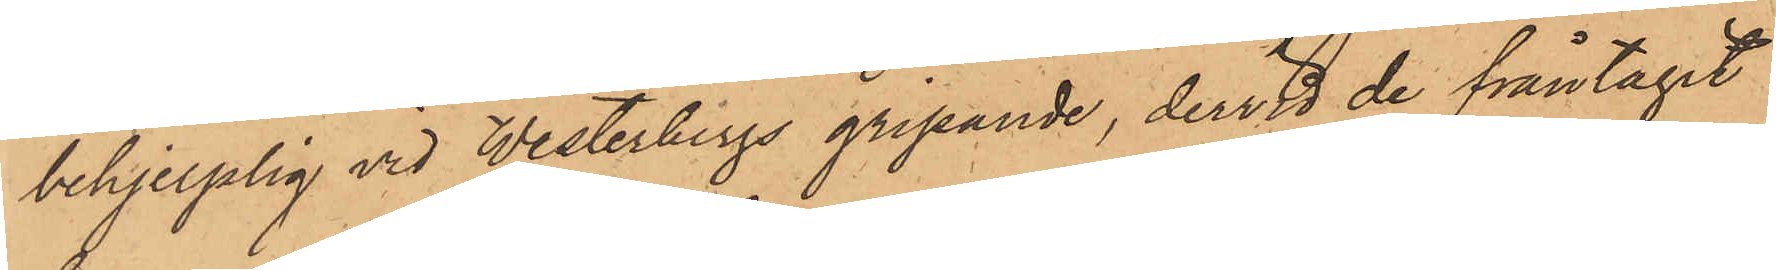behjelplig vid Westerbergs gripande, dervid de fråntagit
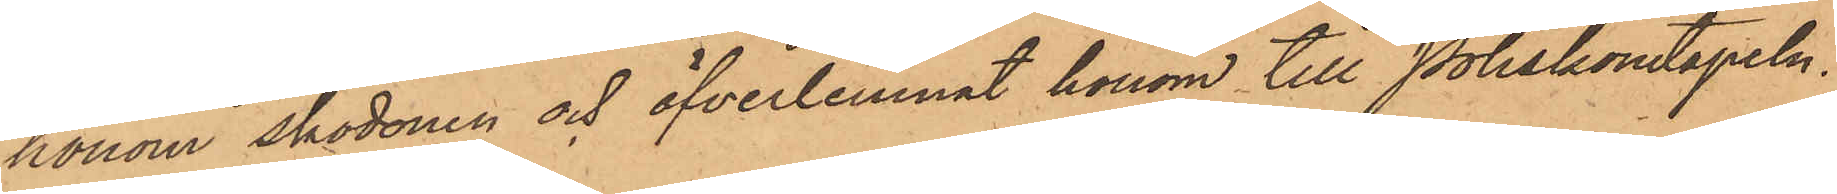honom skodonen och öfverlemnat honom till Poliskonstapeln
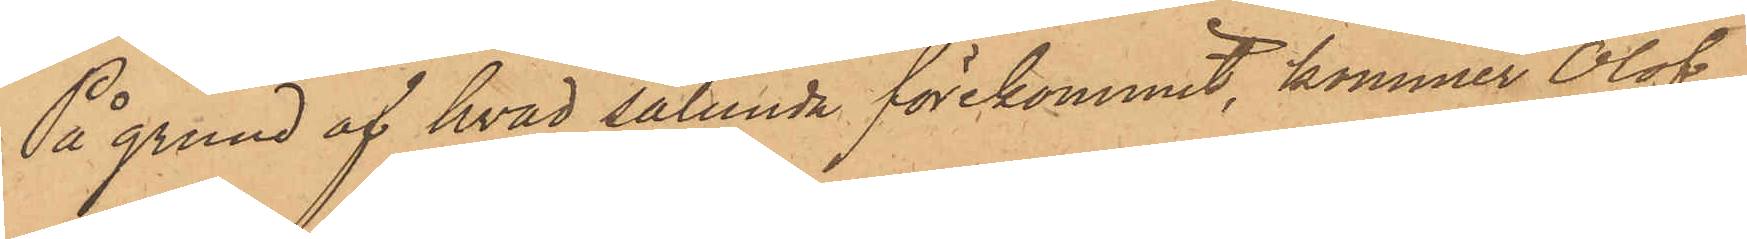På grund af hvad sålunda förekommit, kommer Olof
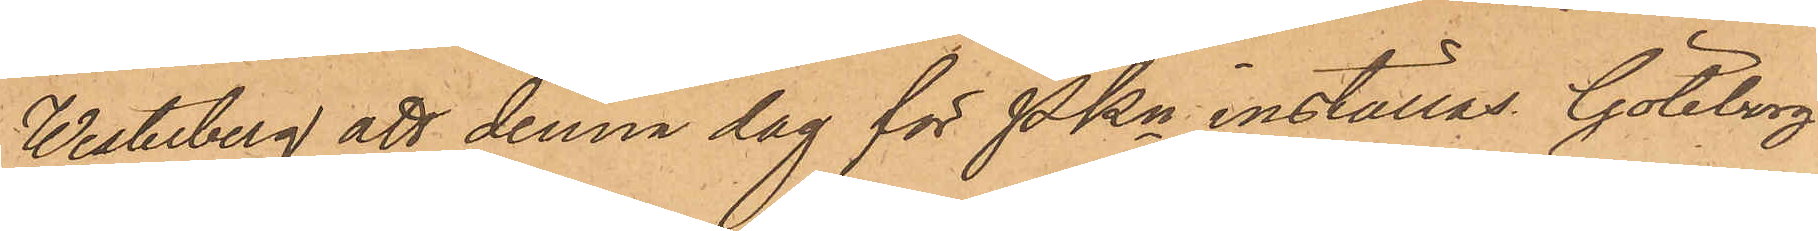Westerberg att denna dag för Pkn inställas. Göteborg
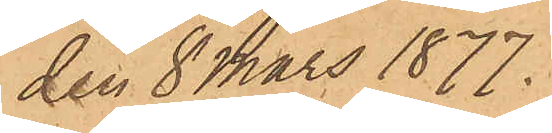den 8 Mars 1877.
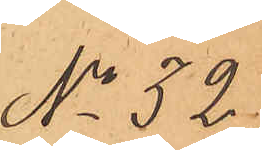No 32
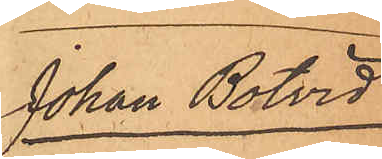Johan Bolvid
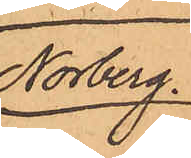Norberg.
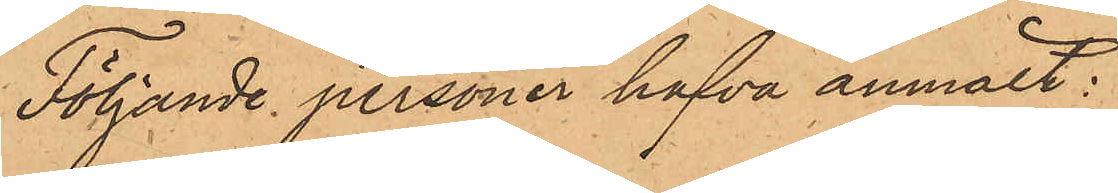Följande personer hafva anmält:
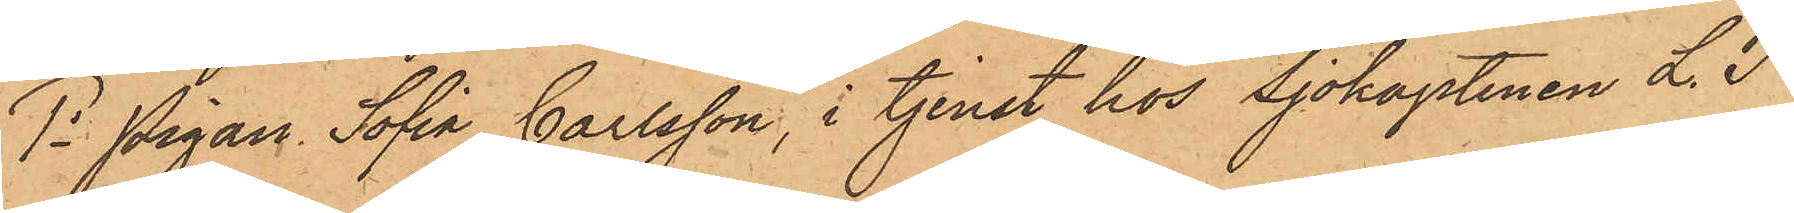1o Pigan Sofia Carlsson, i tjenst hos Sjökaptenen L. J.
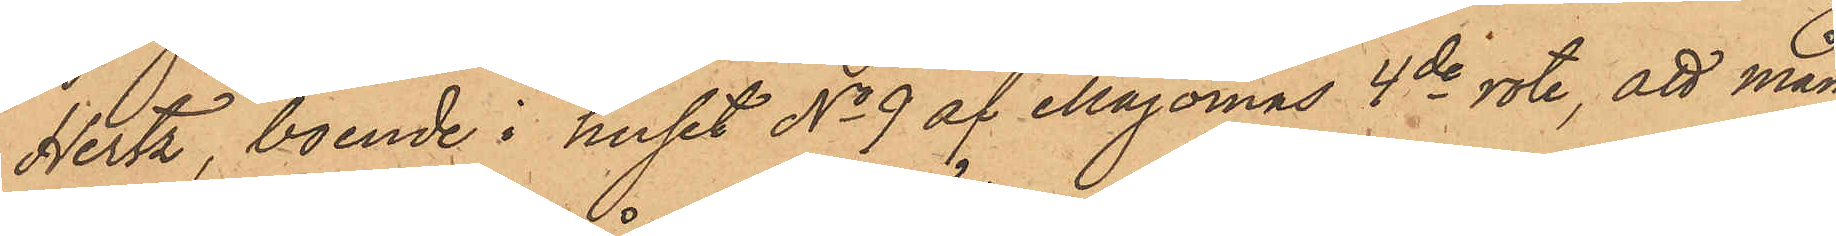Hertz, boende i huset No 9 af Majornas 4de rote, att mån¬
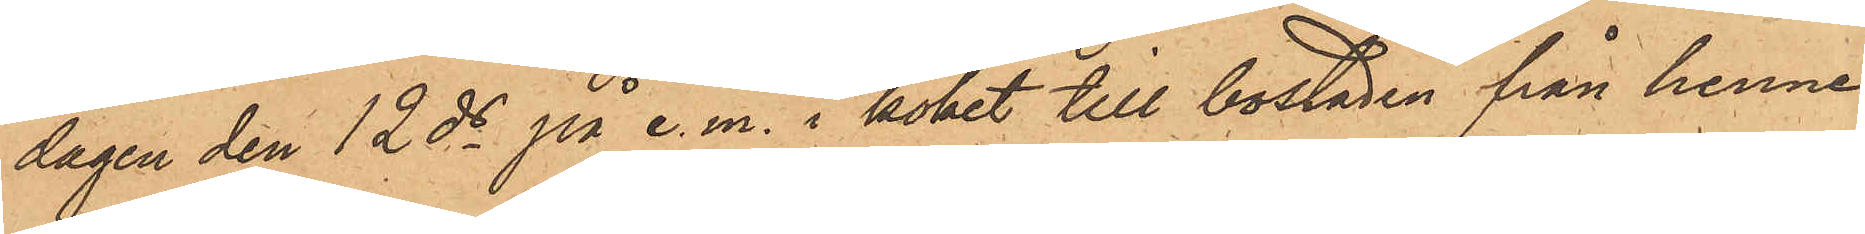dagen den 12 ds på e. m. i köket till bostaden från henne
